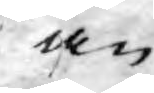än
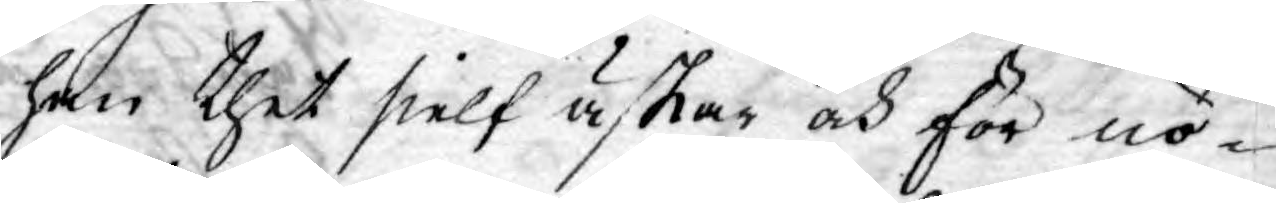han thet sielf äskar och för nö¬
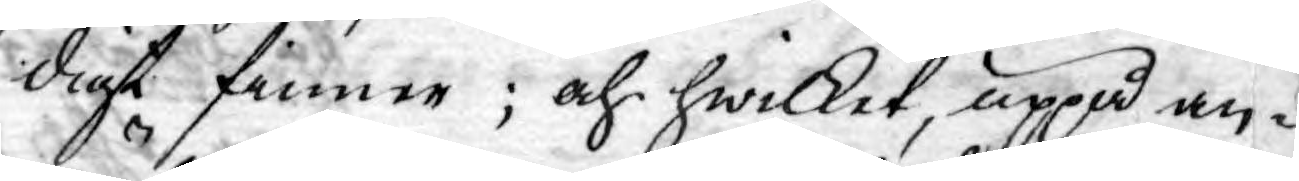digt finner; och hwilket, uppå an¬
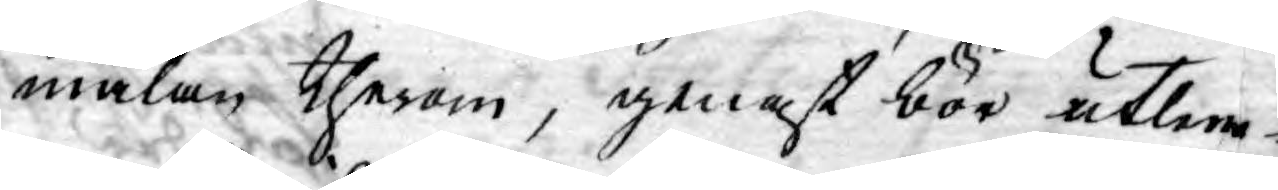mälan therom, genast bör utlem¬
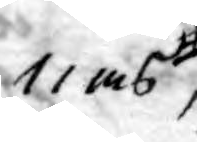nas
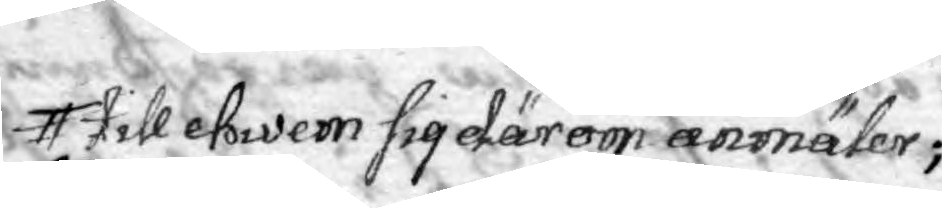till hwem sig därom anmäler;
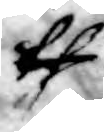th
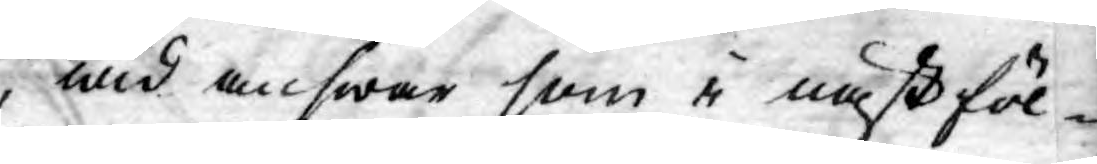,wid answar som i nästföl¬
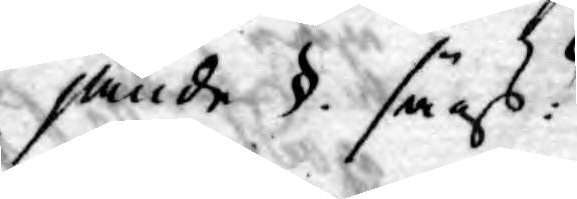jande §. sägs:
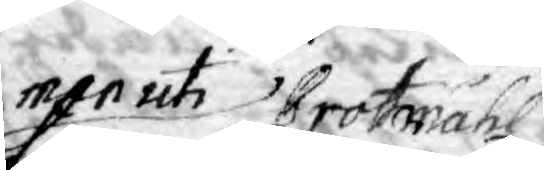men uti Brotmåhl
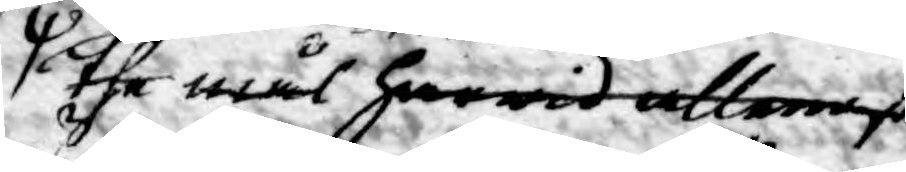the mål harwid allenast
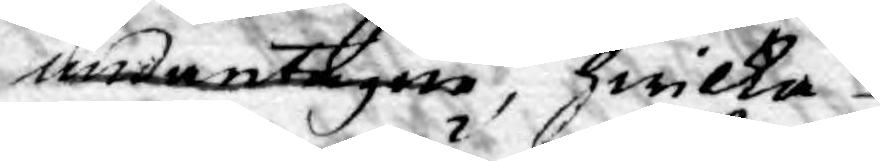undantagne, hwilka
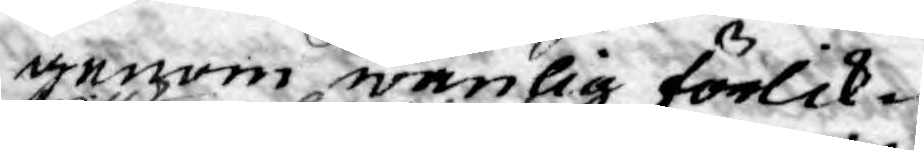genom wänlig förlik¬
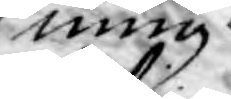ning
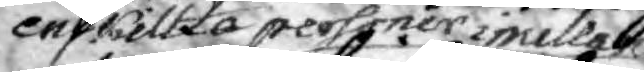enskillta personer imellan
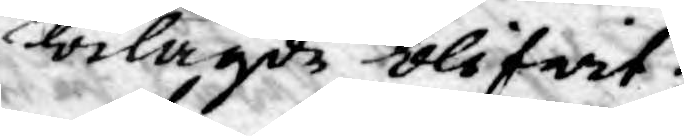bilagde blifwit;
